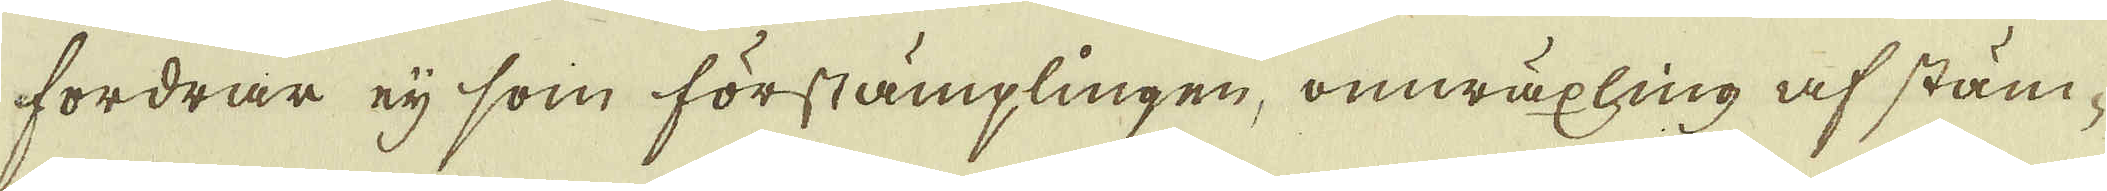fordrar eji som förstämplingen, omwäxling af stäm-
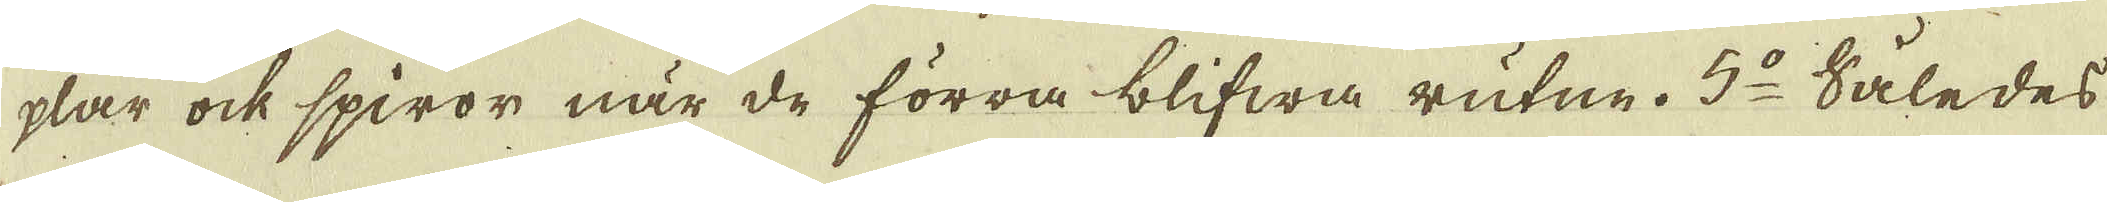plar ock spiror när de förra blifwa rutne. 5:o Således
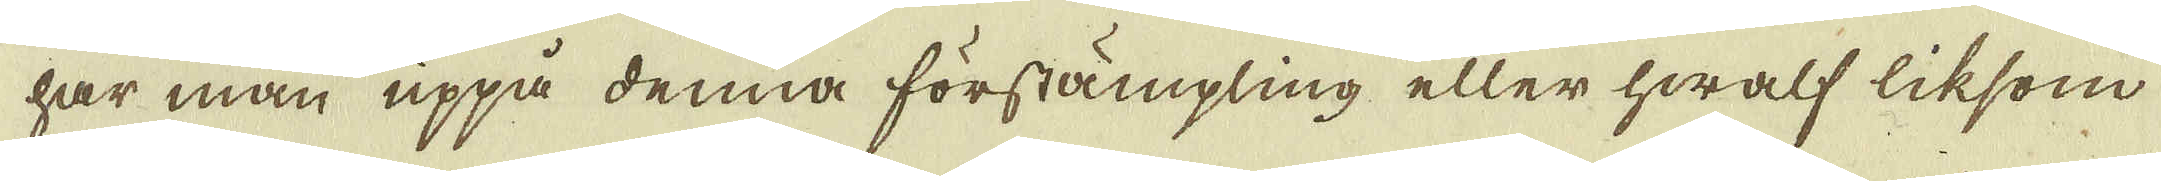har man uppå denna förstämpling eller hwalf liksom
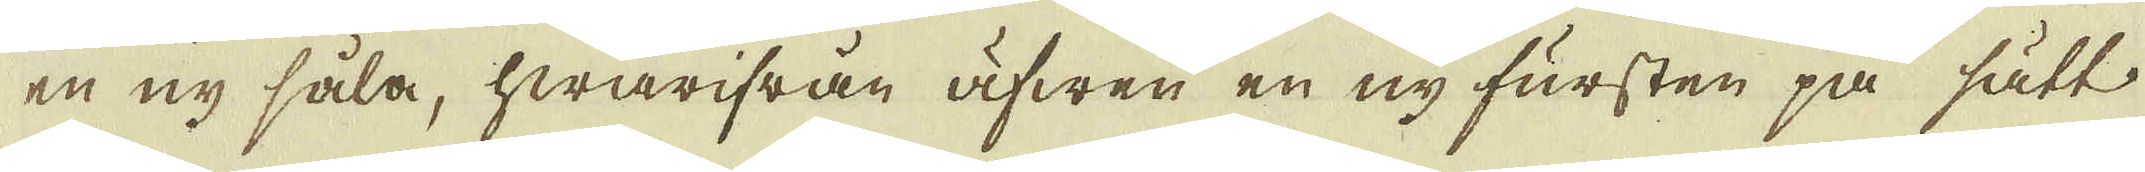en ny såla, hwarifrån äfwen en ny fursten på sätt
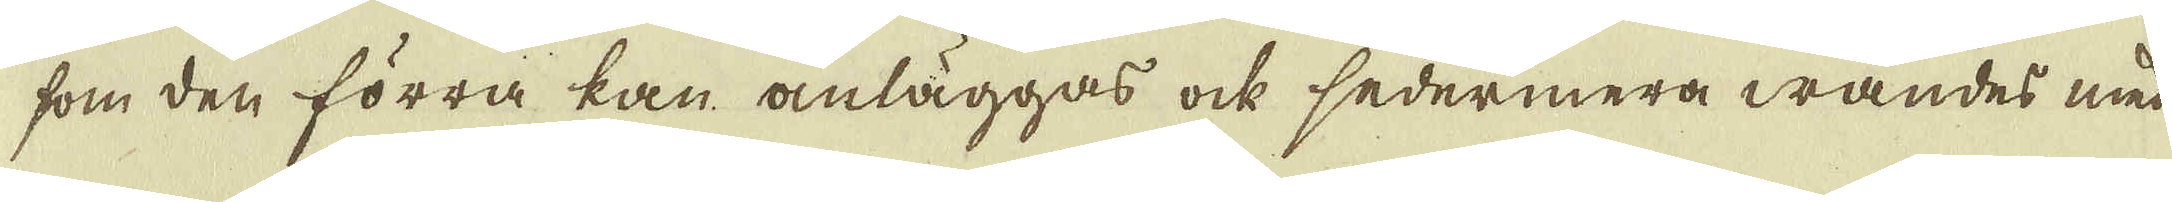som den förra kan anläggas ock sedermera wändes med
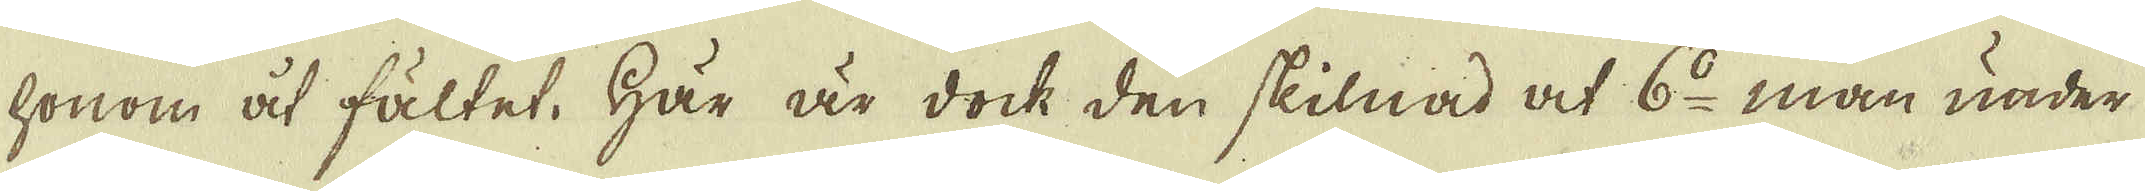honom åt fältet. Här är dock den skilnad at 6:o man under
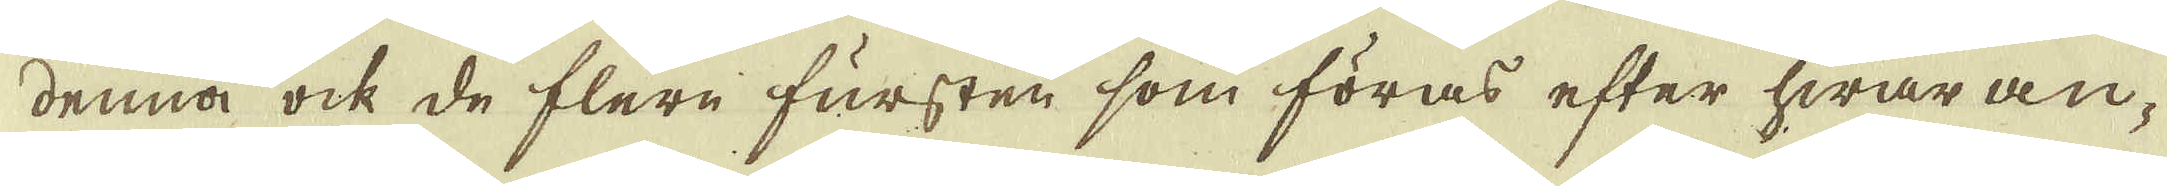denna ock de flere fursten som föras efter hwar an-
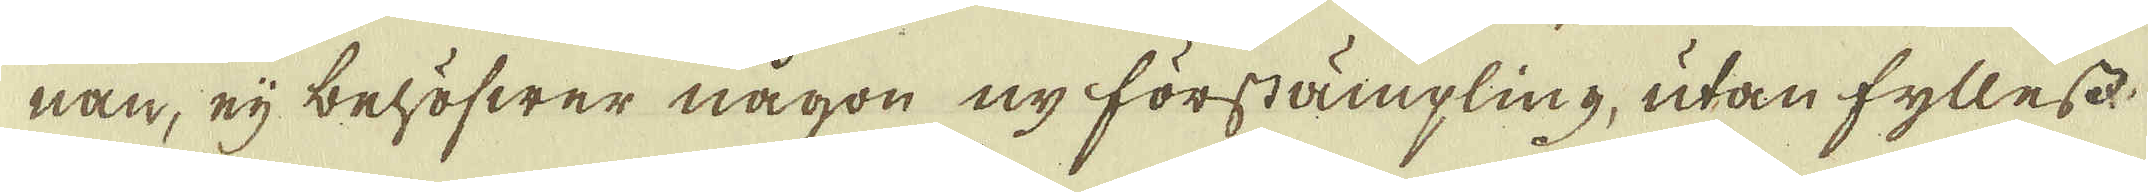nan, eij behöfwer någon ny förstämpling, utan fyllest
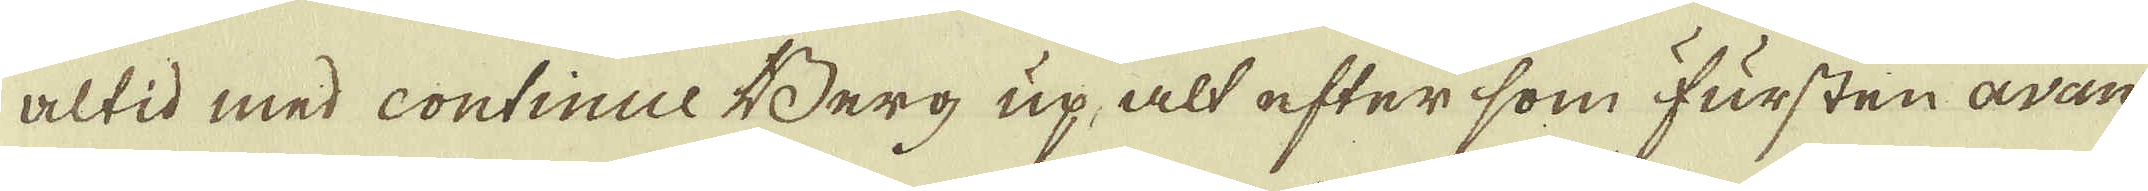altid med continue Berg up, alt efter som Fursten avan-
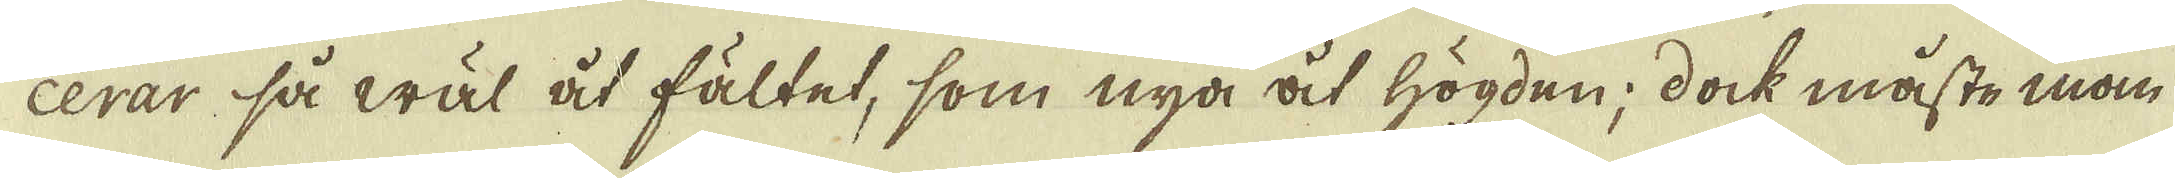cerar så wäl åt fältet, som nya åt högden; dock måste man
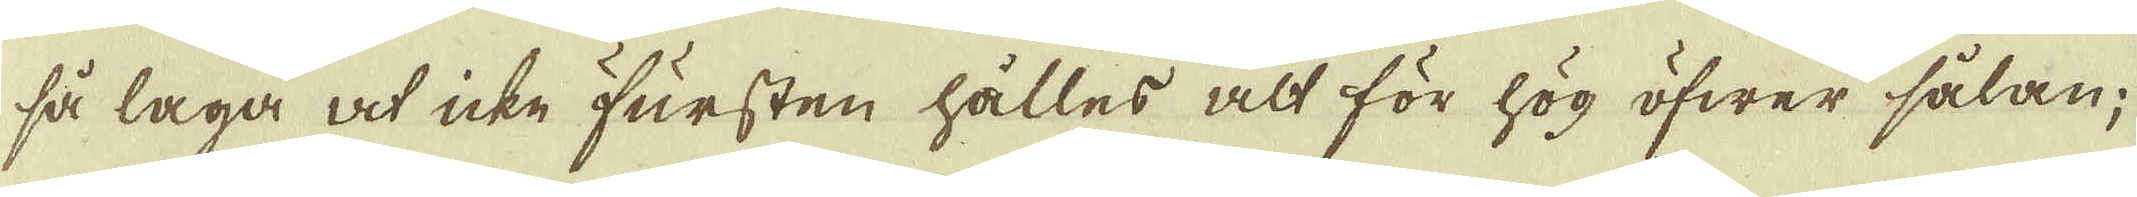så laga at icke Fursten hålles alt för hög öfwer sålan;
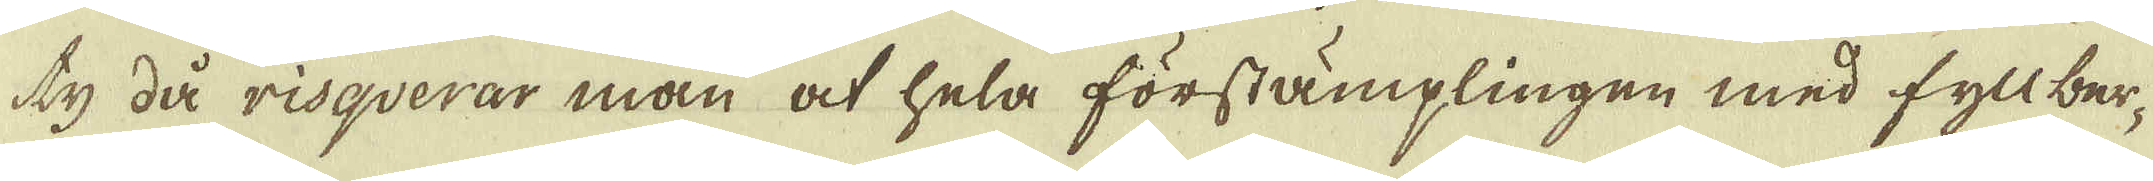ty då risqverar man at hela förstämplingen med fyllber-
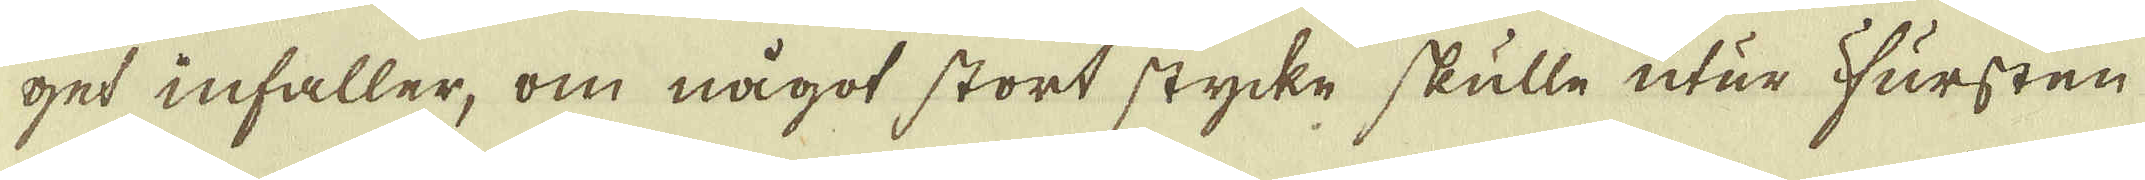get infaller, om något stort stycke skulle utur Fursten
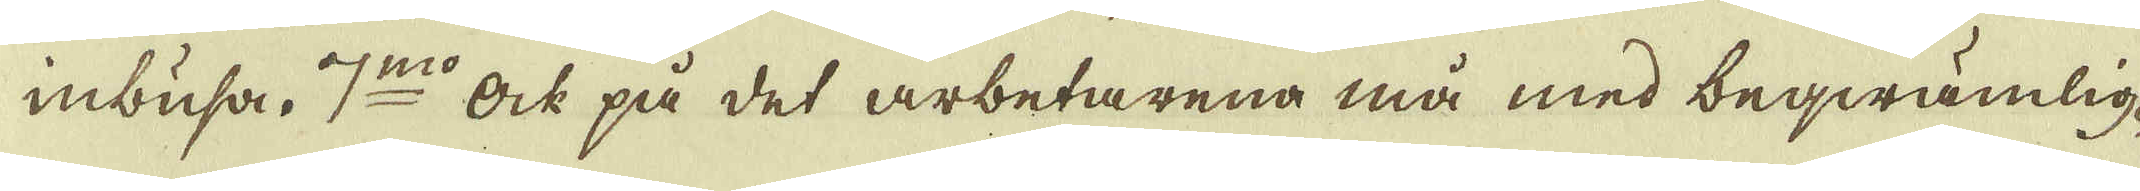inbusa. 7:mo Ock på det arbetarena må med beqwämlig-
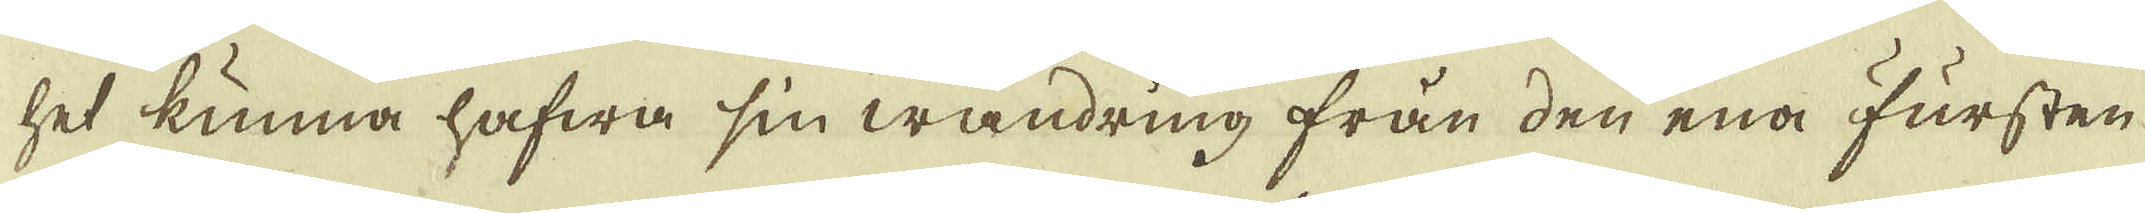het kunna hafwa sin wandring från den ena Fursten
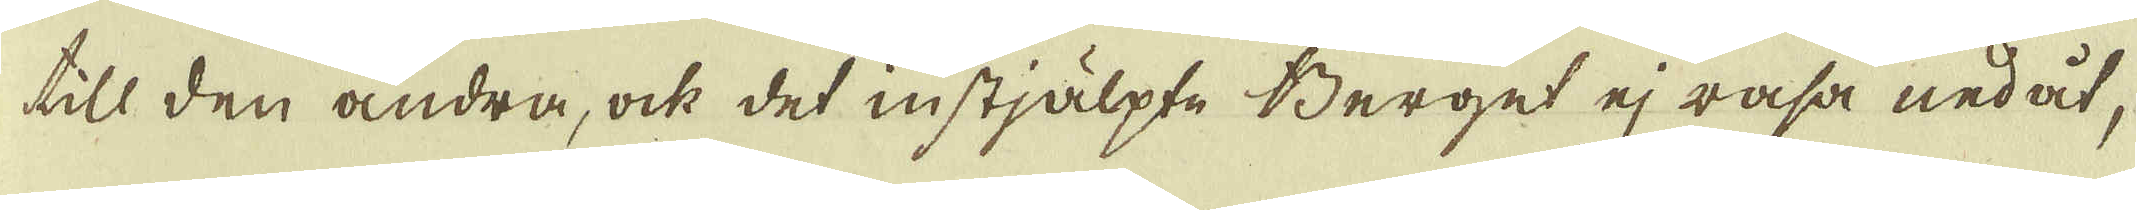till den andra, ock det instjälpte Berget ej rasa nedåt,
